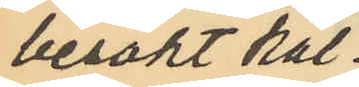besökt käl¬
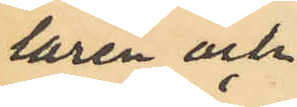laren och
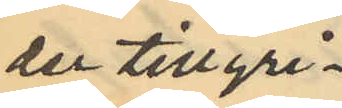der tillgri¬
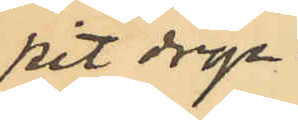pit dryc¬
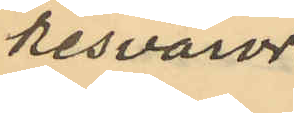kesvaror.
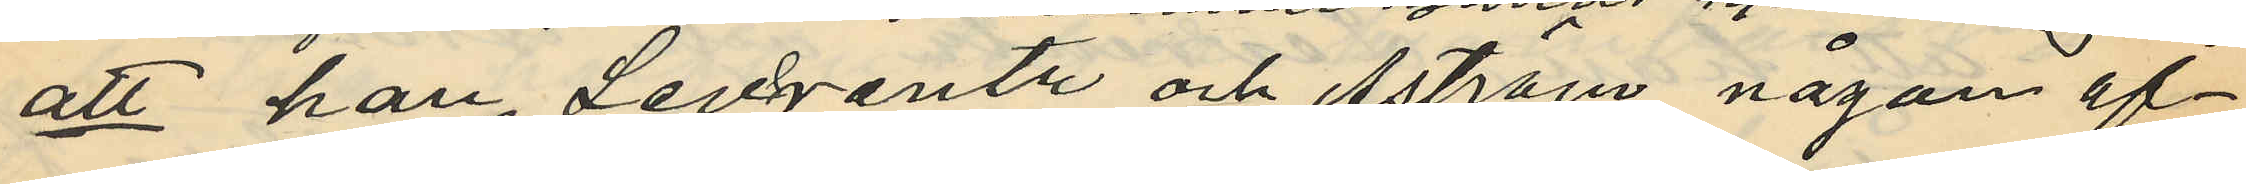att han, Levrentz och Åström någon af¬
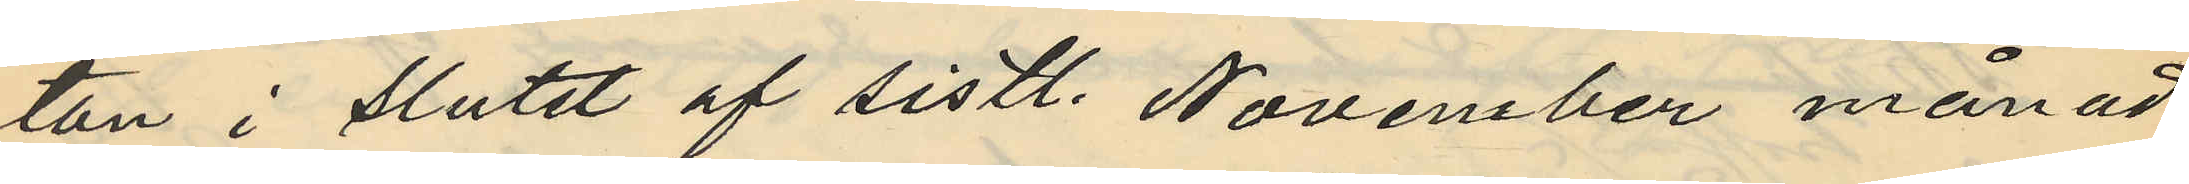ton i slutet af sistl. November månad
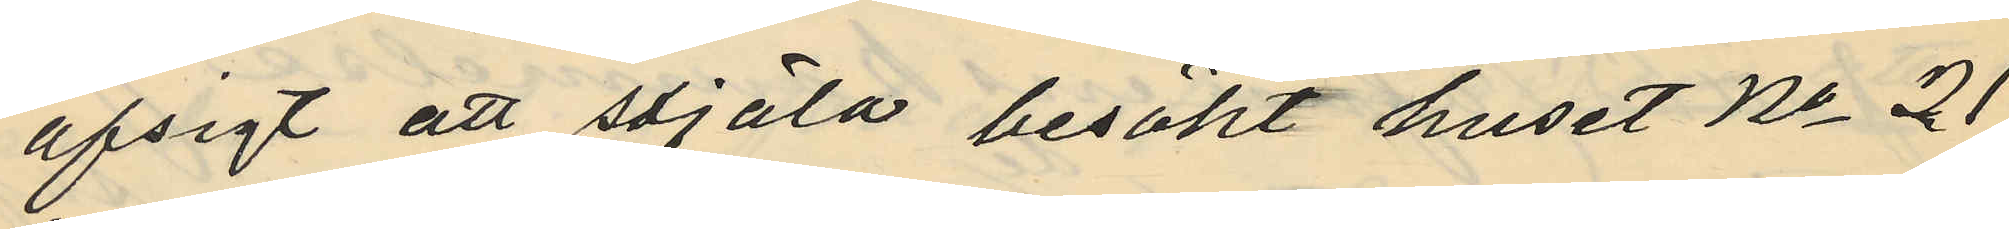afsigt att stjäla besökt huset No 21
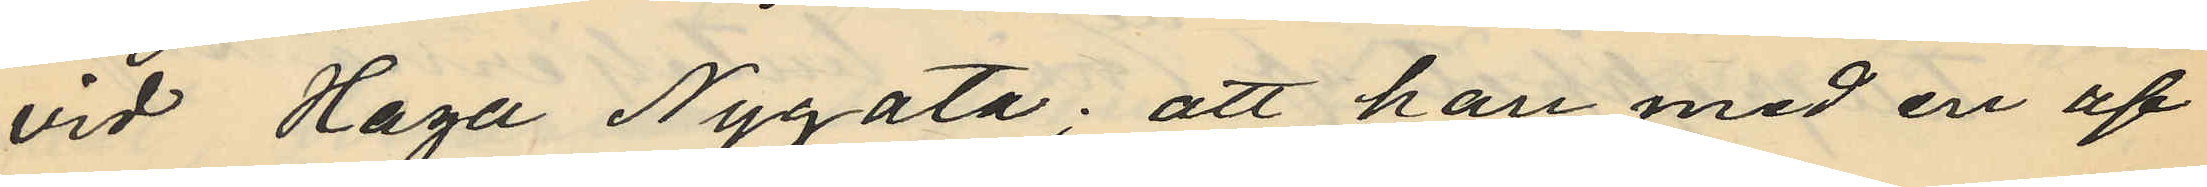vid Haga Nygata; att han med en af
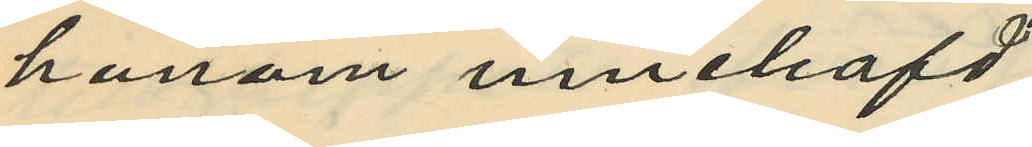honom innehafd
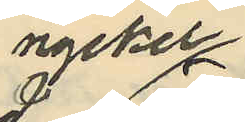nyckel
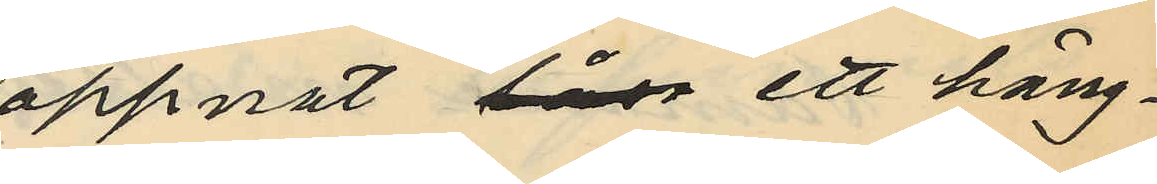öppnat låse ett häng¬
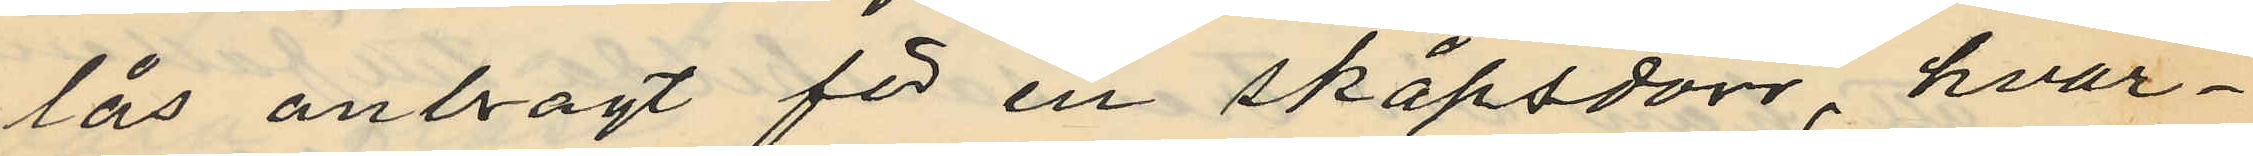lås anbragt för en skåpsdörr, hvar¬
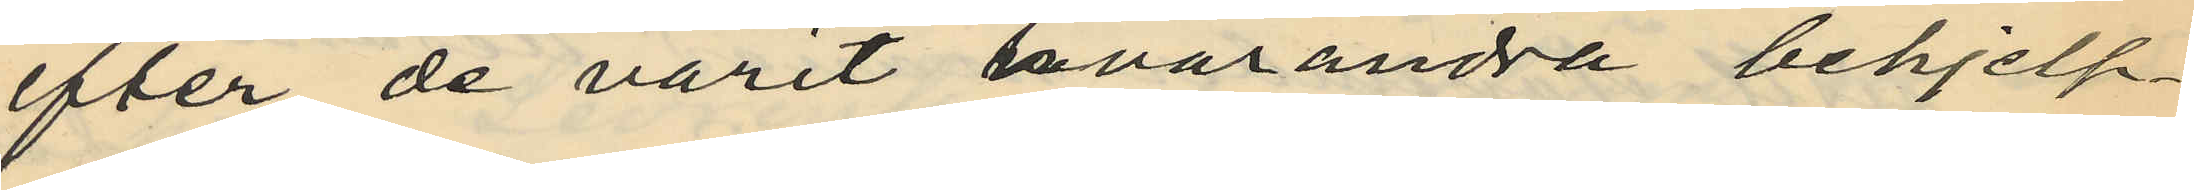efter de varit hvarandra behjelp¬
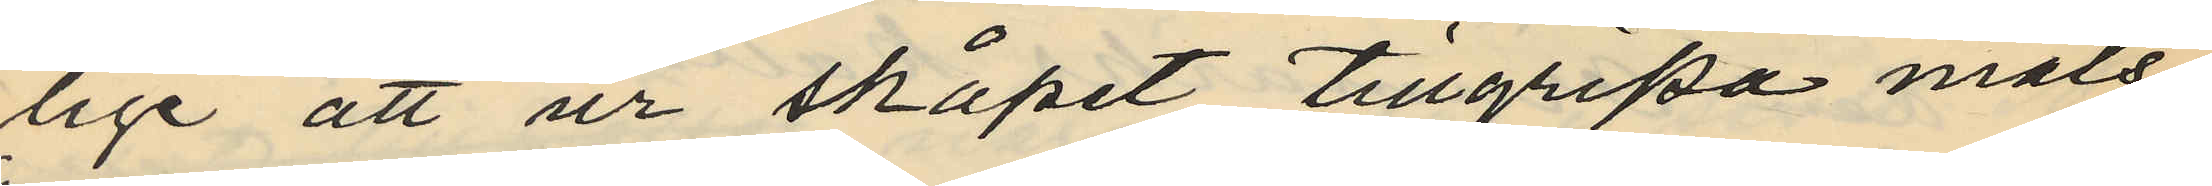lige att ur skåpet tillgripa måls¬
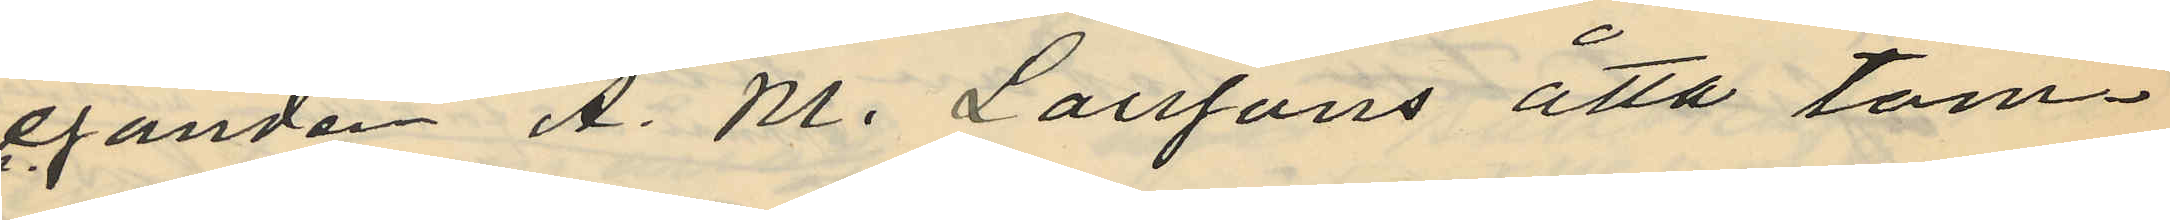eganden A. M. Larssons åtta tom¬
